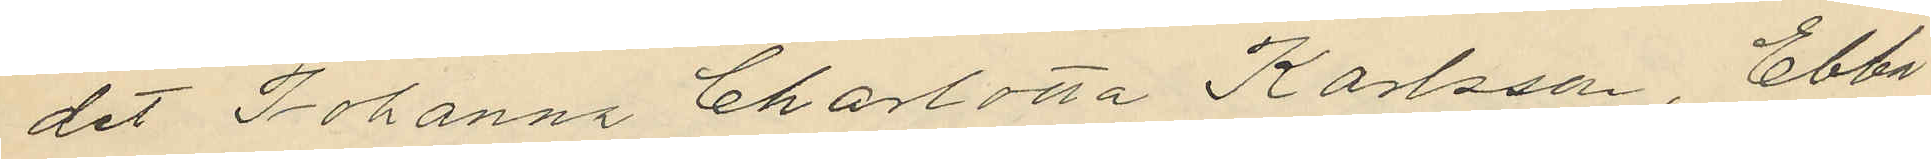det Johanna Charlotta Karlsson, Ebba
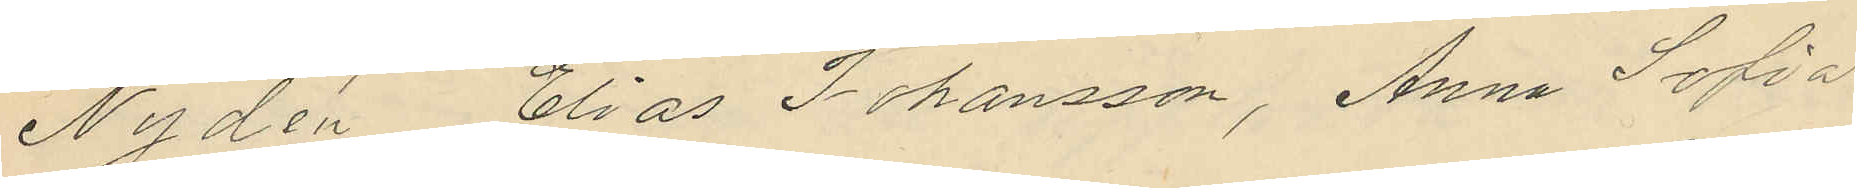Nydén Elias Johansson, Anna Sofia
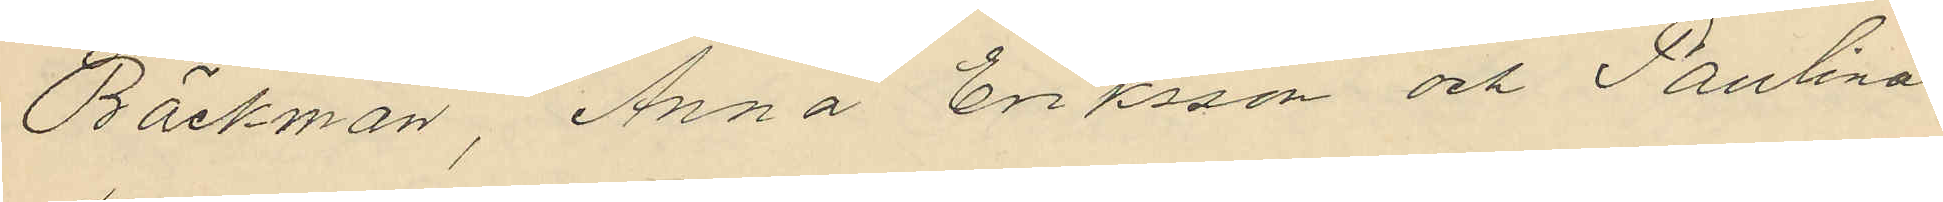Bäckman, Anna Eriksson och Paulina
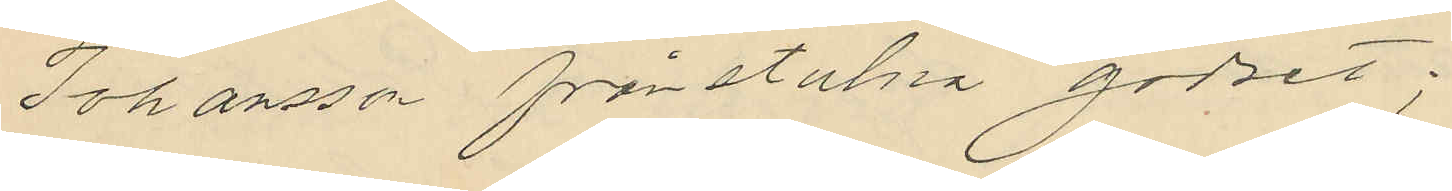Johansson frånstulna godset;
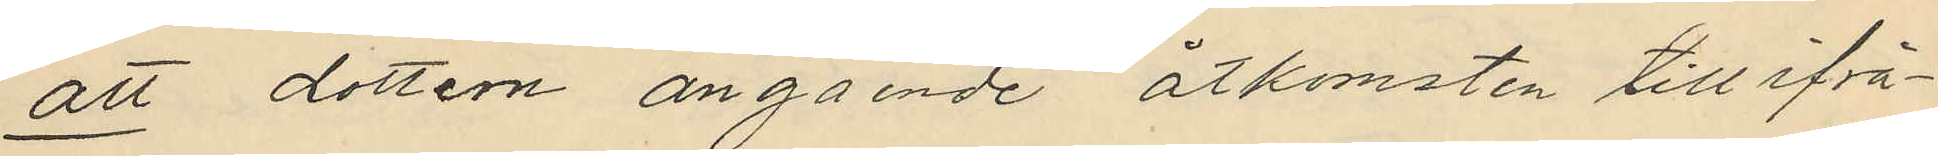att dottern angående åtkomsten till ifrå¬
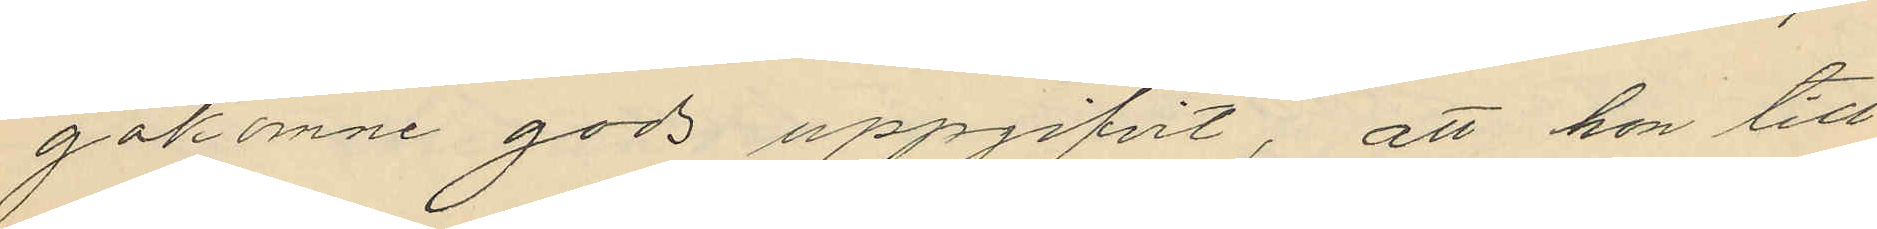gakomne gods uppgifvit, att hon till
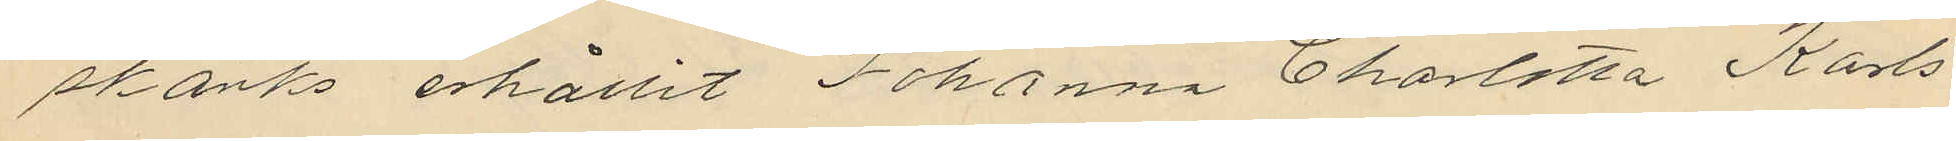skänks erhållit Johanna Charlotta Karls¬
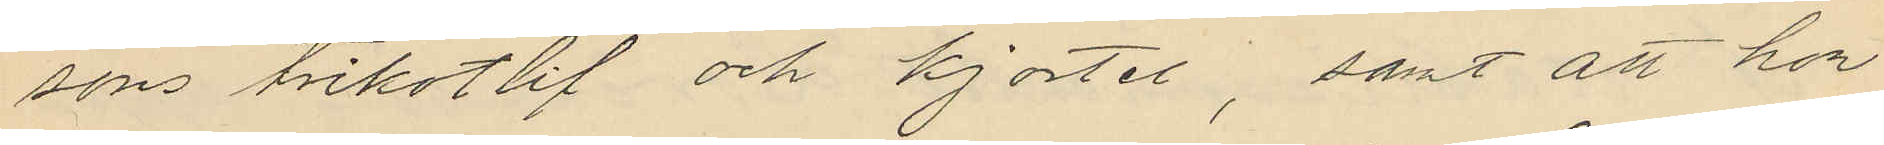sons trikotlif och kjortel, samt att hon
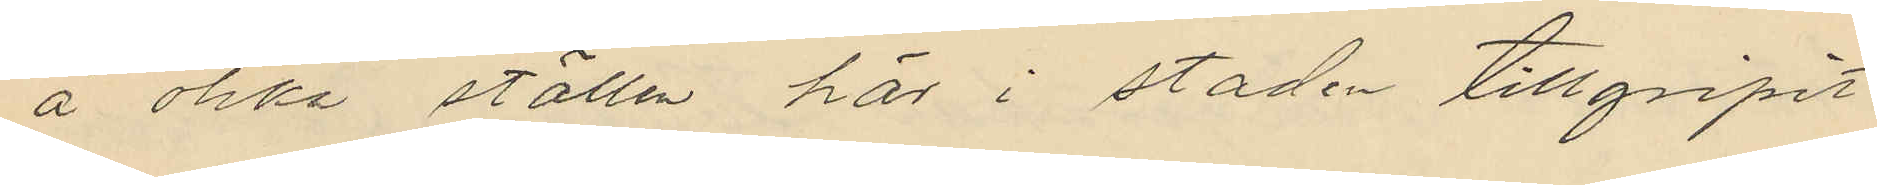å olika ställen här i staden tillgripit
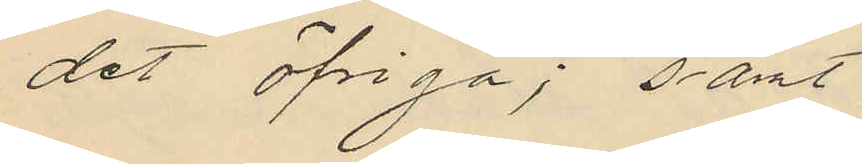det öfriga; samt
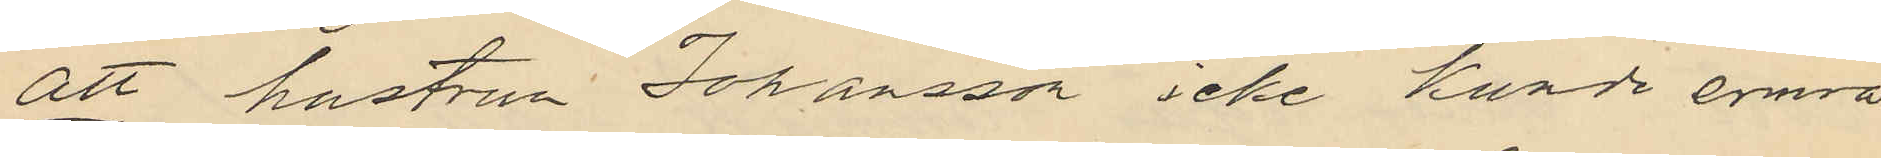att hustrun Johansson icke kunde erinra
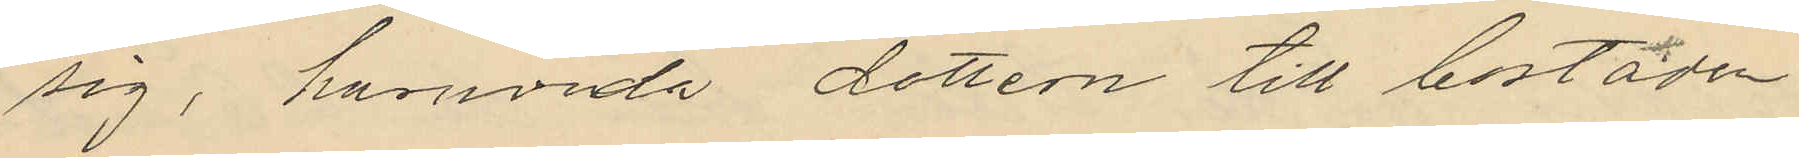sig i huruvida dottern till bostaden
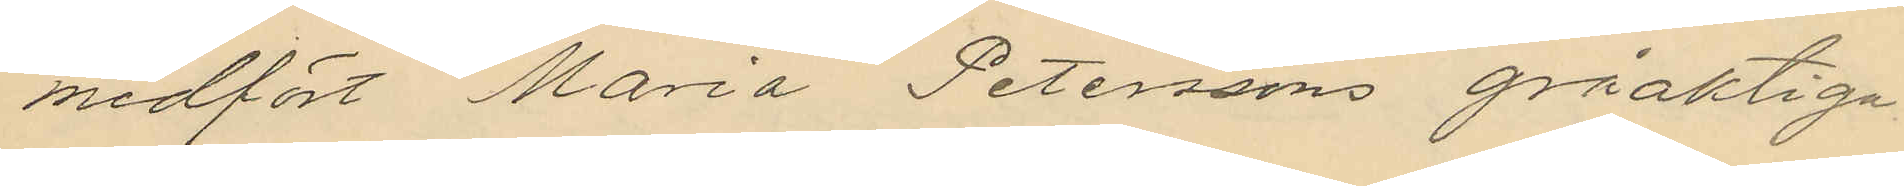medfört Maria Peterssons gråaktiga
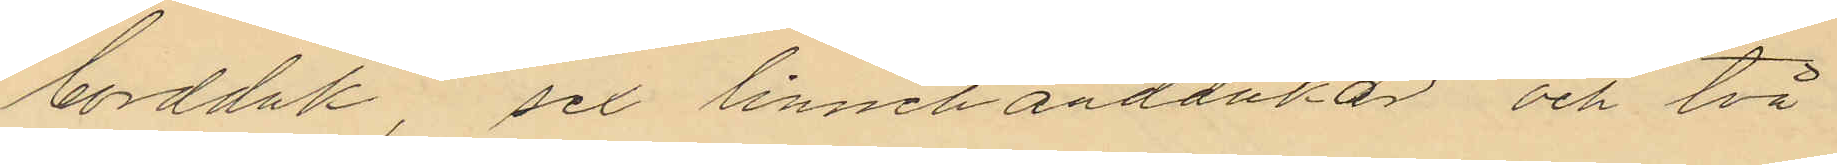bordduk, sex linnehanddukar och två
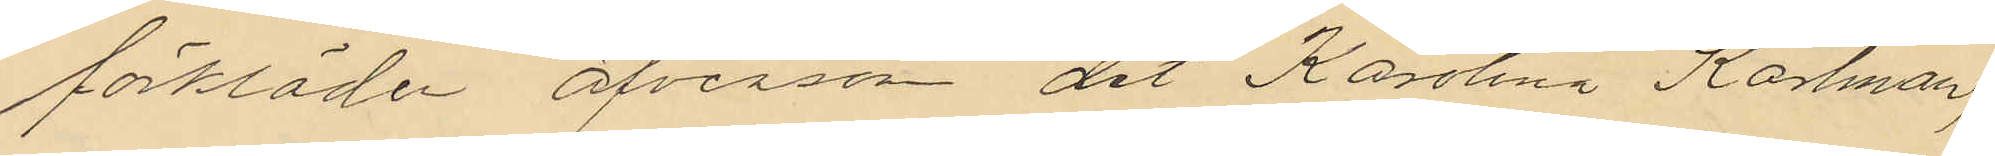förkläden äfversom det Karolina Karlman,
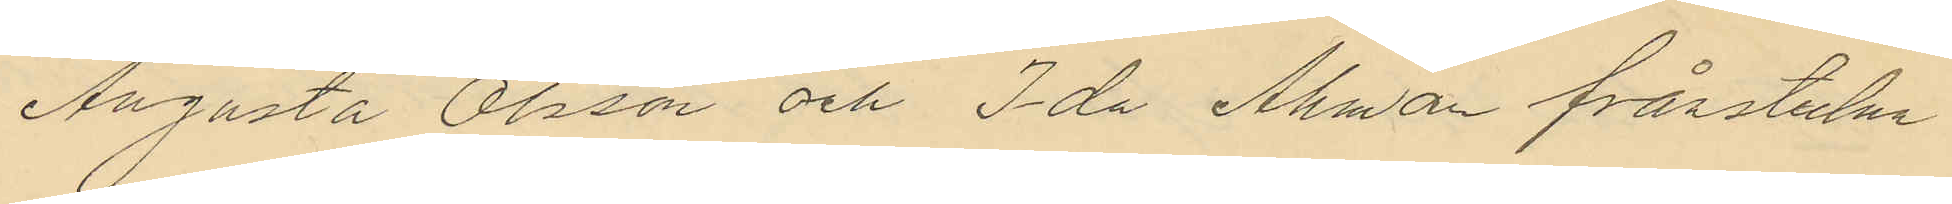Augusta Olsson och Ida Åhman förstulna
